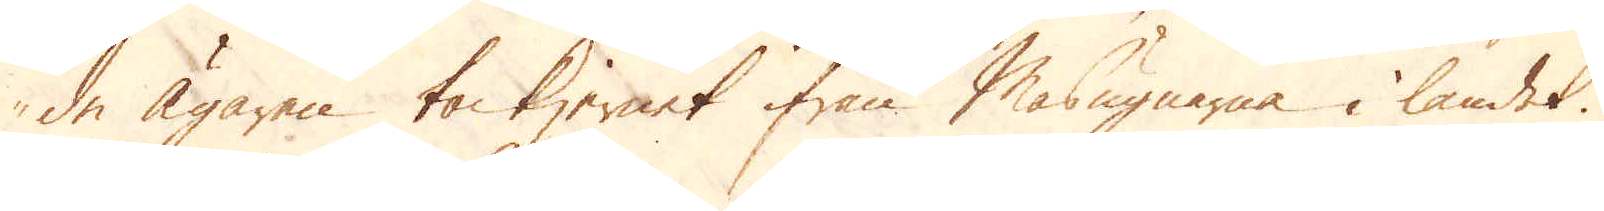de Ägaren tackjernet ifrån Masugnarna i landet.
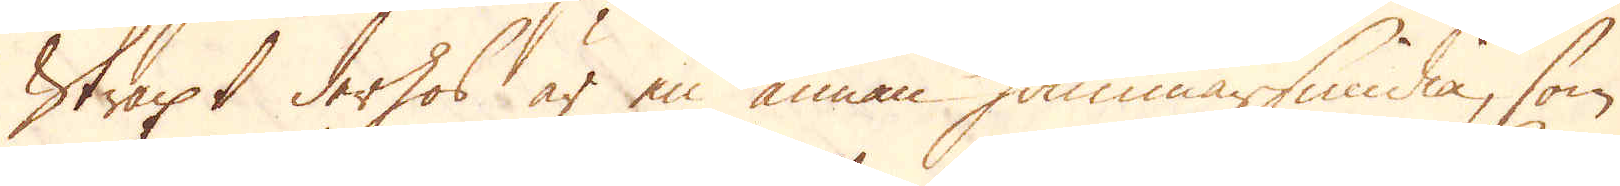Straxt derhos är en annan Hammarsmidia, som
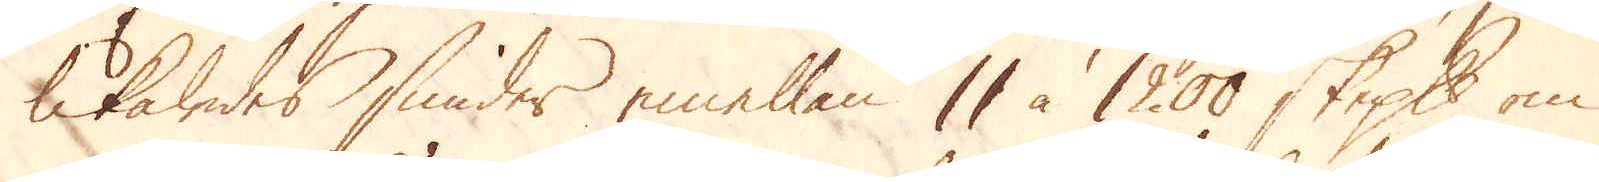likaledes smider emellan 11 à 1200 skeppund om
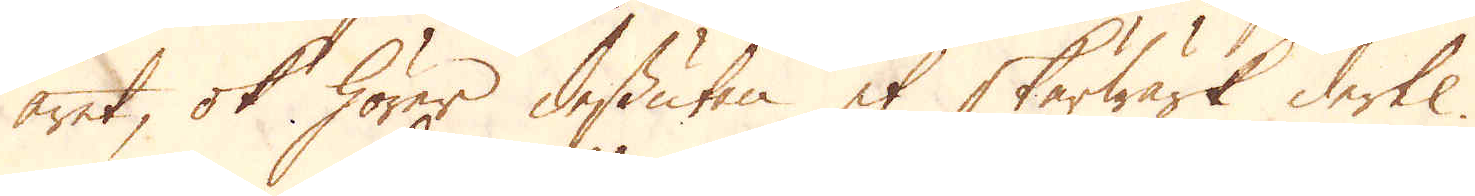året, ok hörer dessutan et Skärwärk dertil.
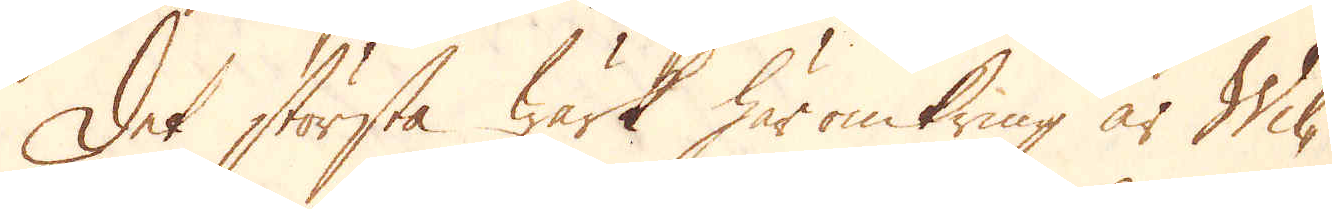Det största Wärk häromkring är Wil-
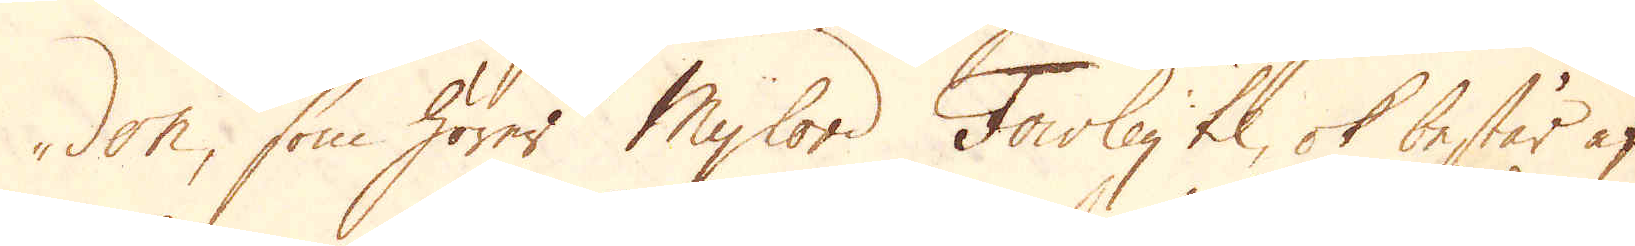den, som hörer Mylord Fowley til, ok består af
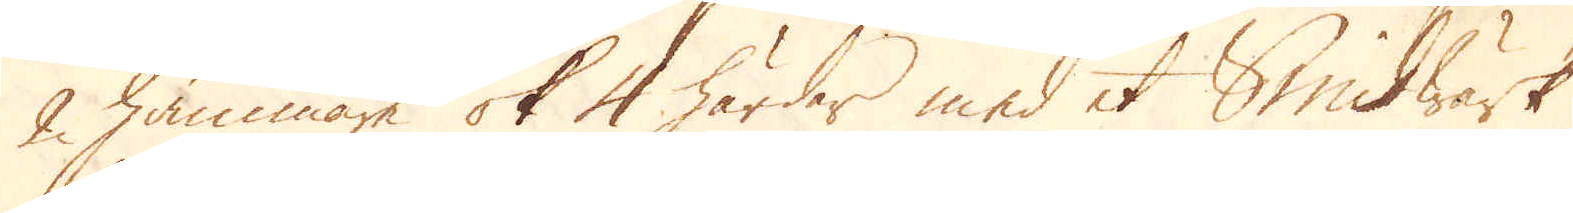2 hammare ok 4 härdar med et Smidwärk
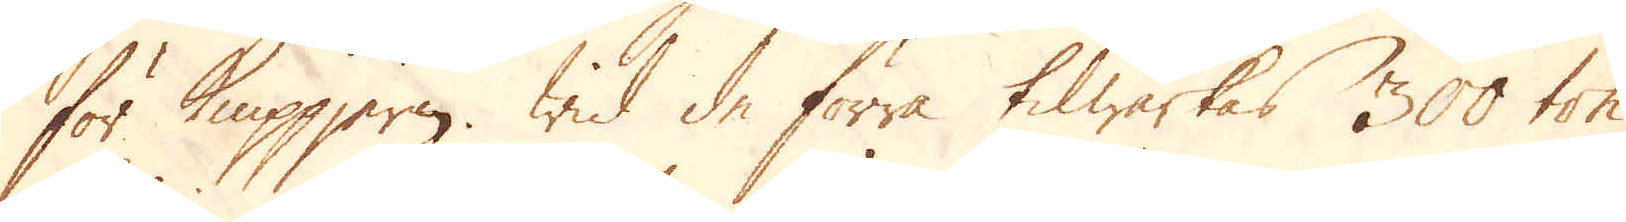för Knippjern. Wid de förra tilwärkas 300 ton
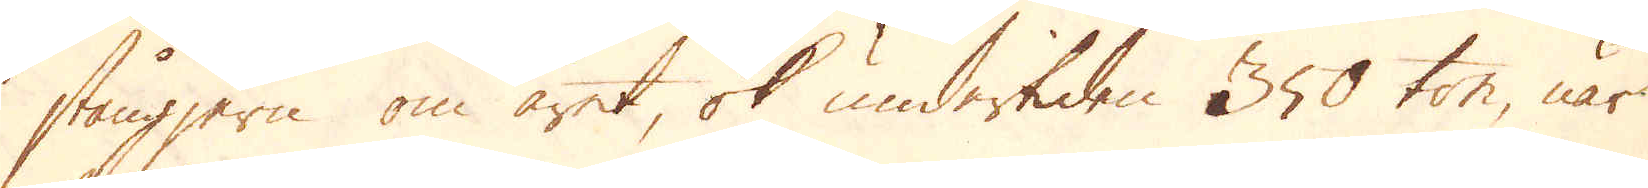stångjern om året, ok undertiden 350 ton, när
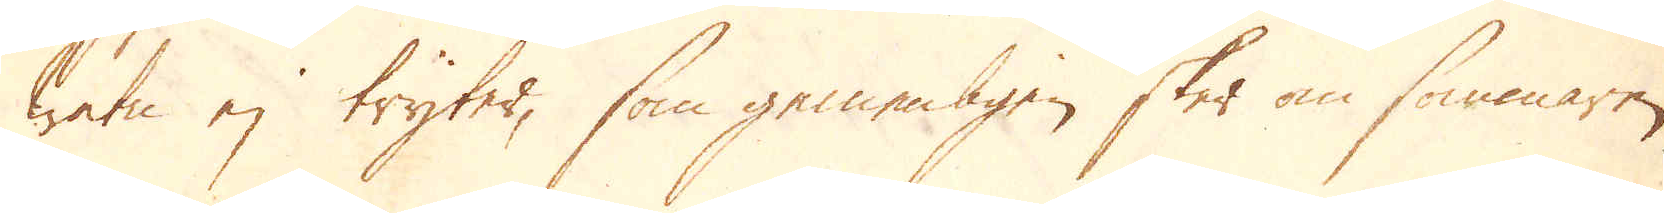watn ej tryter, som gemenligen sker om sommaren.
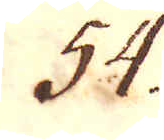54.
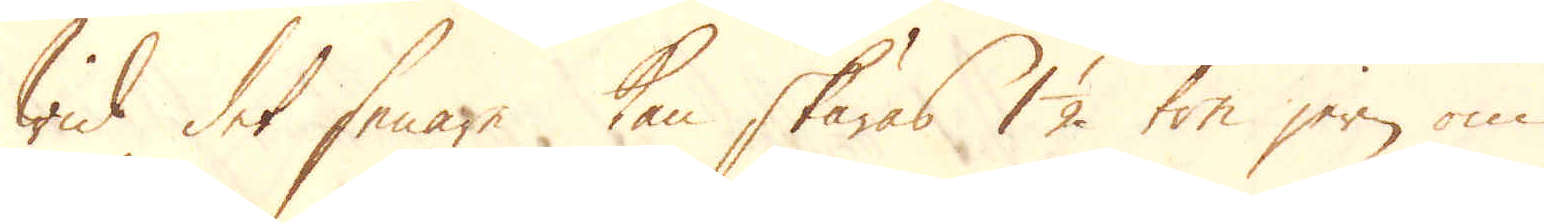Wid det senare kan skäras 1 1/2 ton jern om
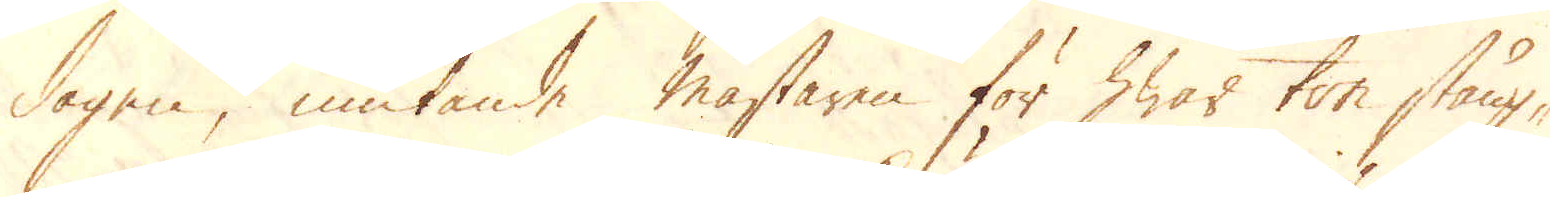dagen, niutande mästaren för hwar ton stång-
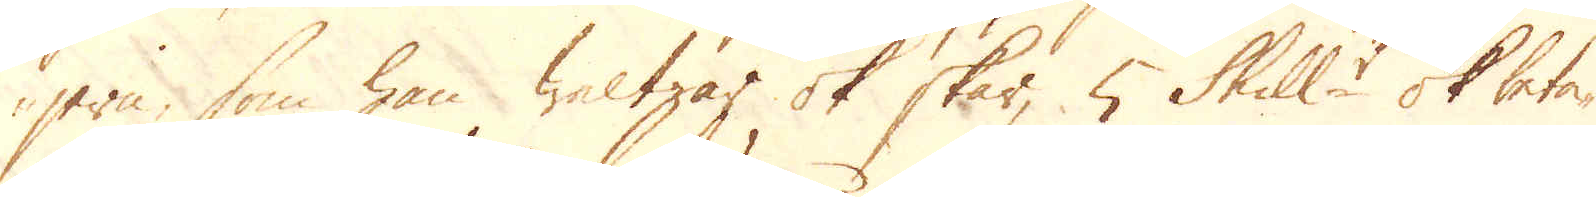jern som han waltzar ok skär, 5 Skill:r ok beta-
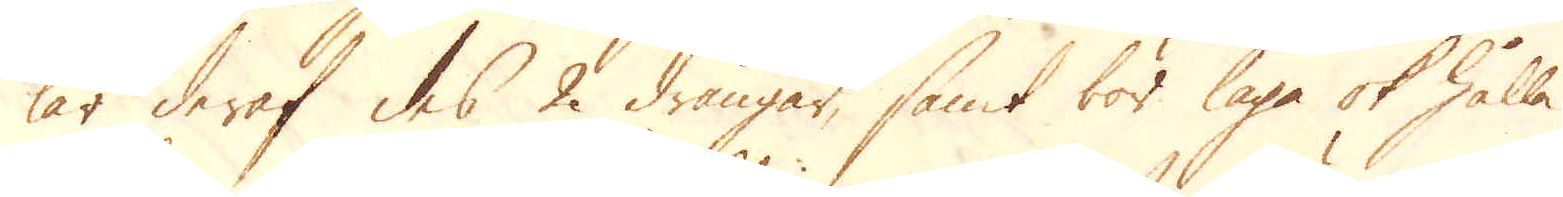kar deraf des 2 drängar, samt bör laga ok hålla
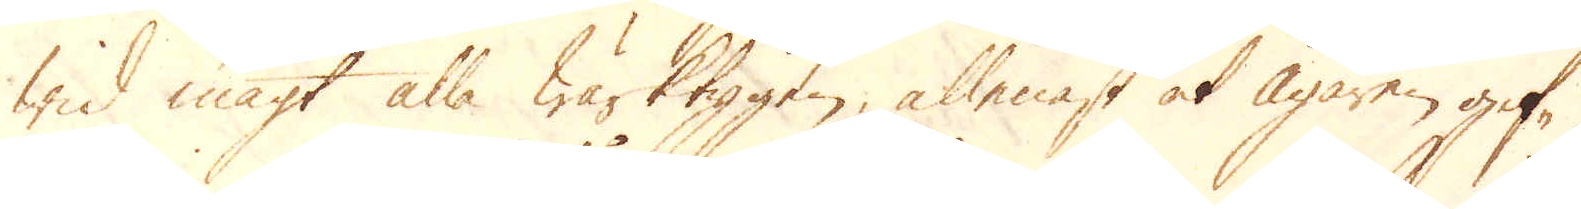wid magt alla Wärktygen, allenast at Ägaren gif-
